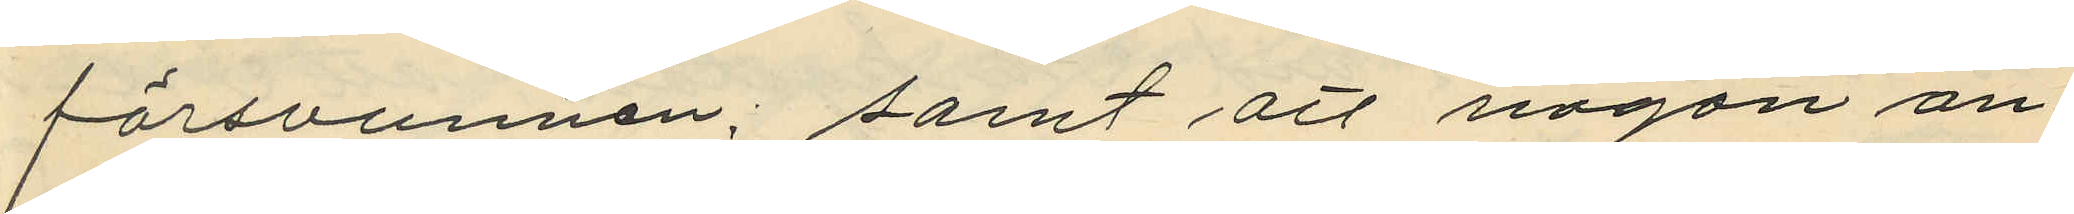försvunnen; samt att någon an¬
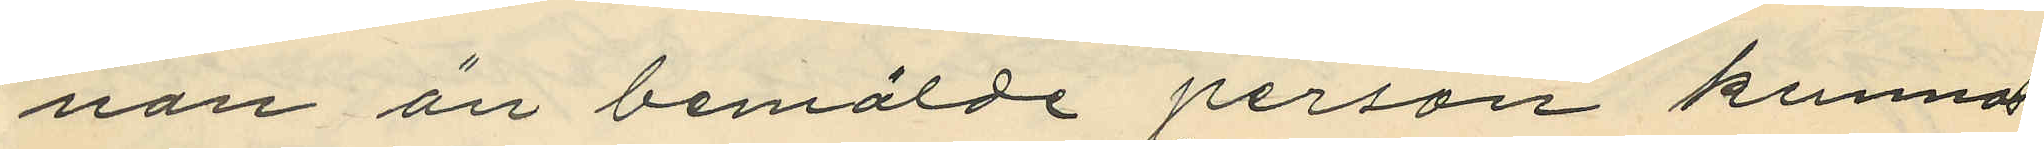nan än bemälde person kunnat
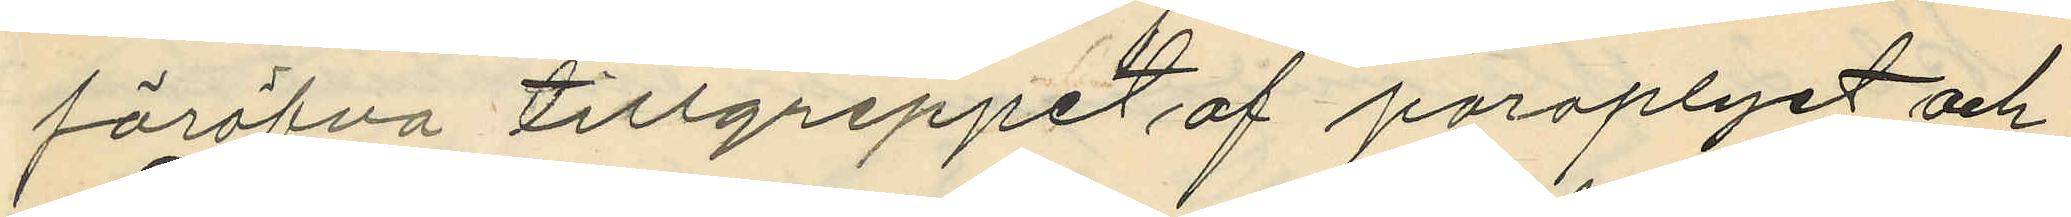föröfva tillgreppet af paraplyet och
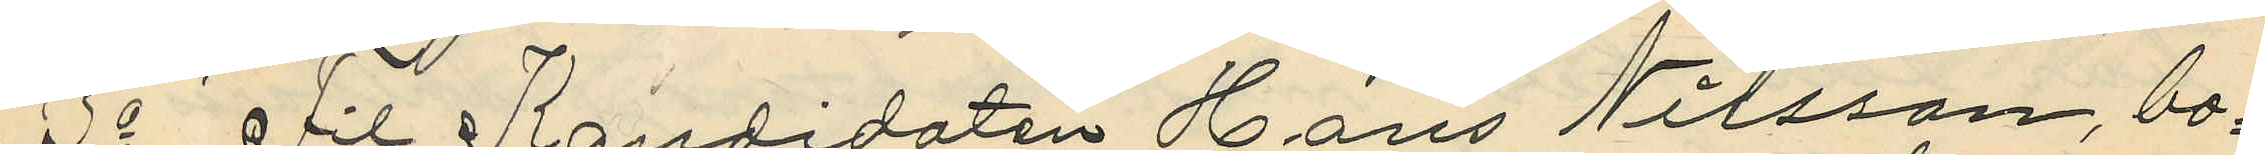3o Fil Kandidaten Hans Nilsson, bo¬
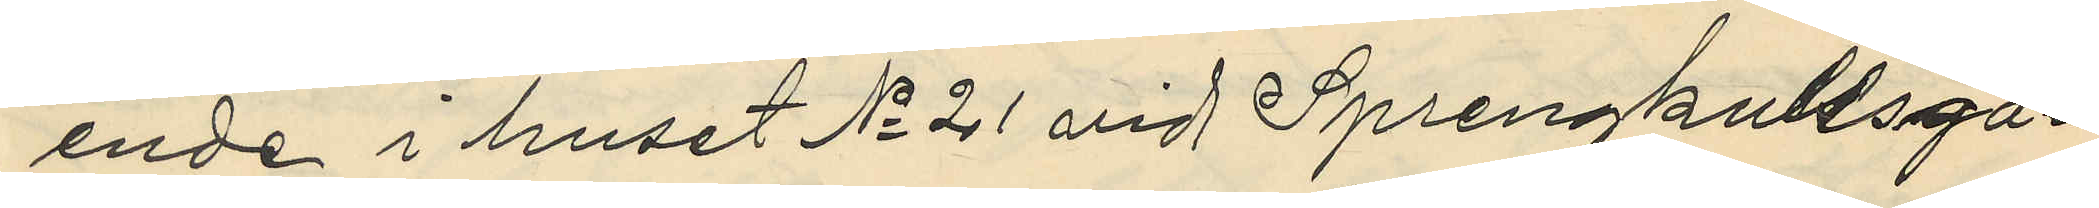ende i huset No 21 vid Sprängkullsga¬
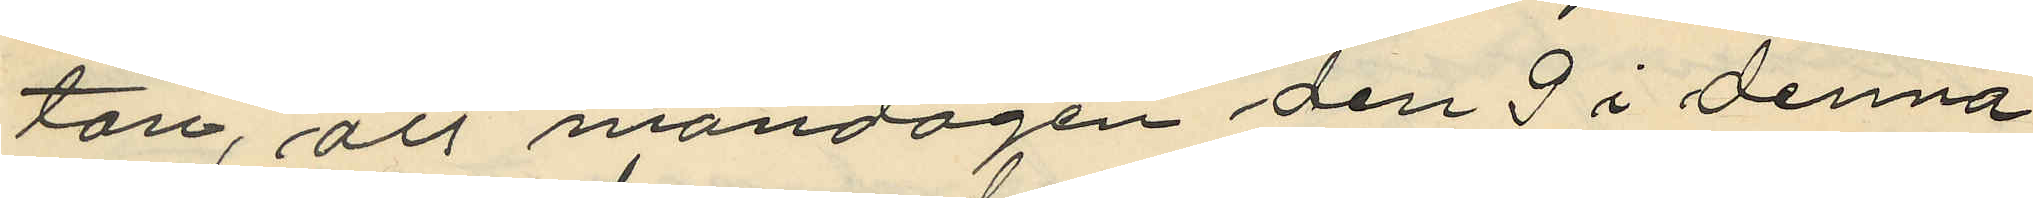tan, att måndagen den 3 i denna
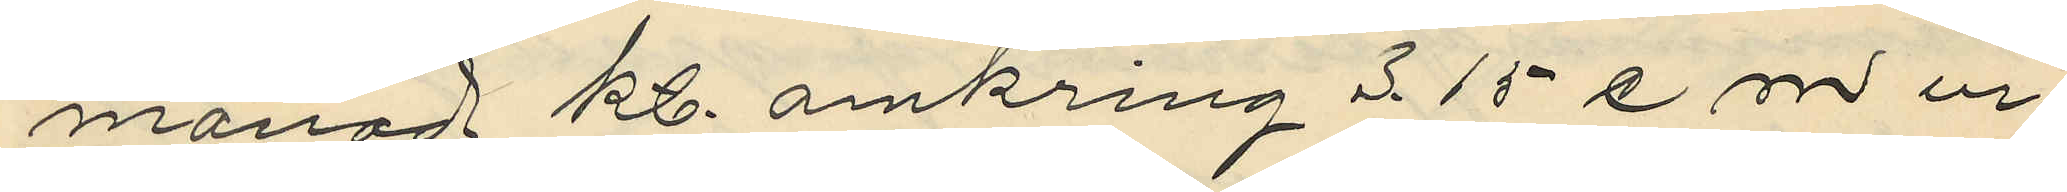månad kl. omkring 3.15 e.m ur
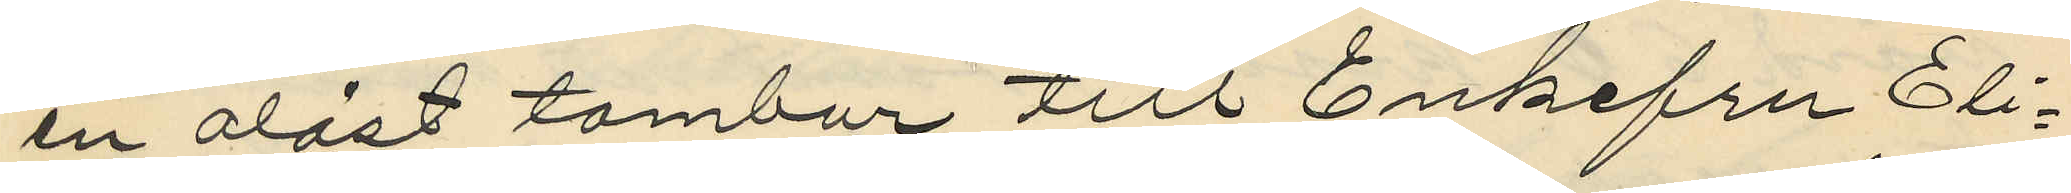en olåst tambur till Enkefru Eli¬
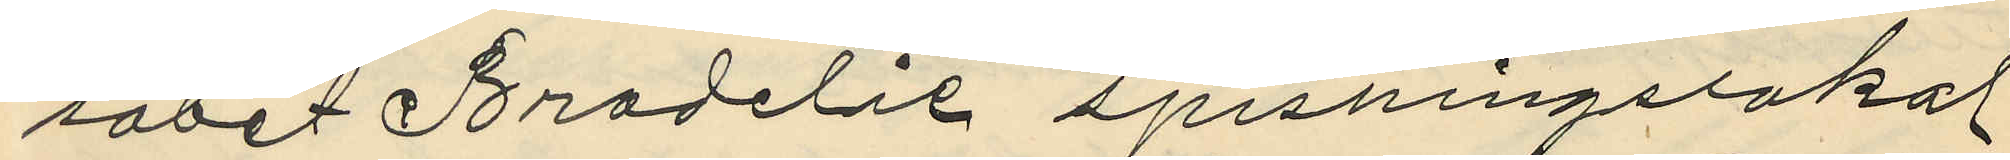sabet Brodelii spisningslokal
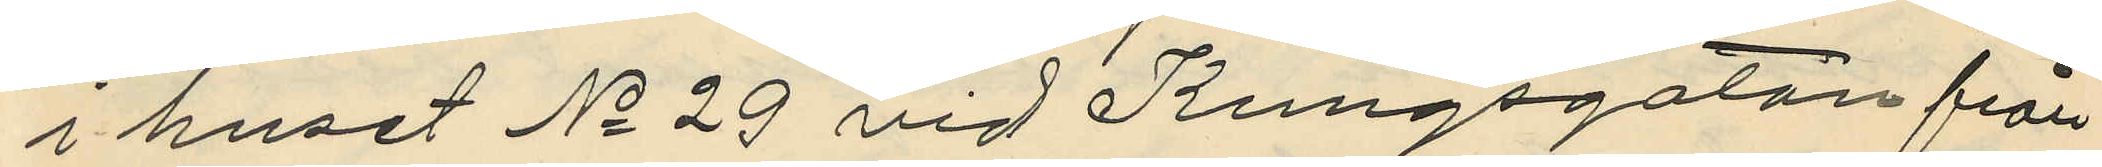i huset No 29 vid Kungsgatan från
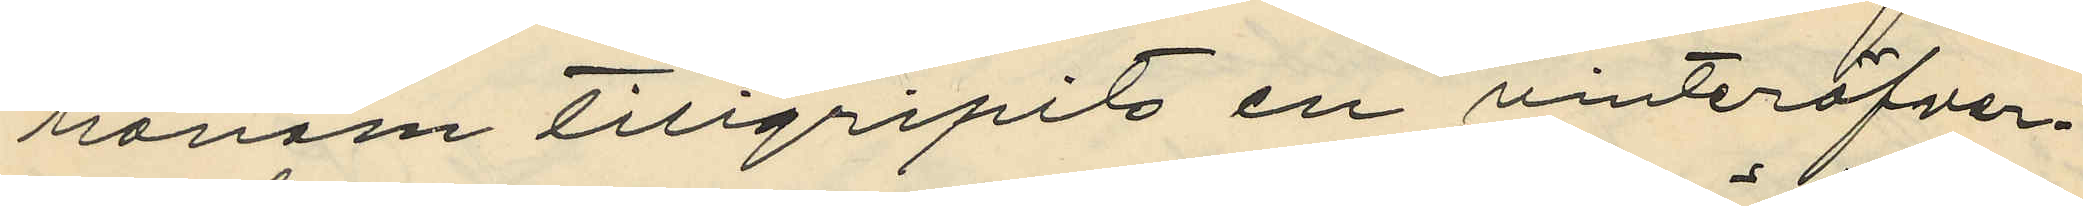honom tillgripits en vinteröfver¬
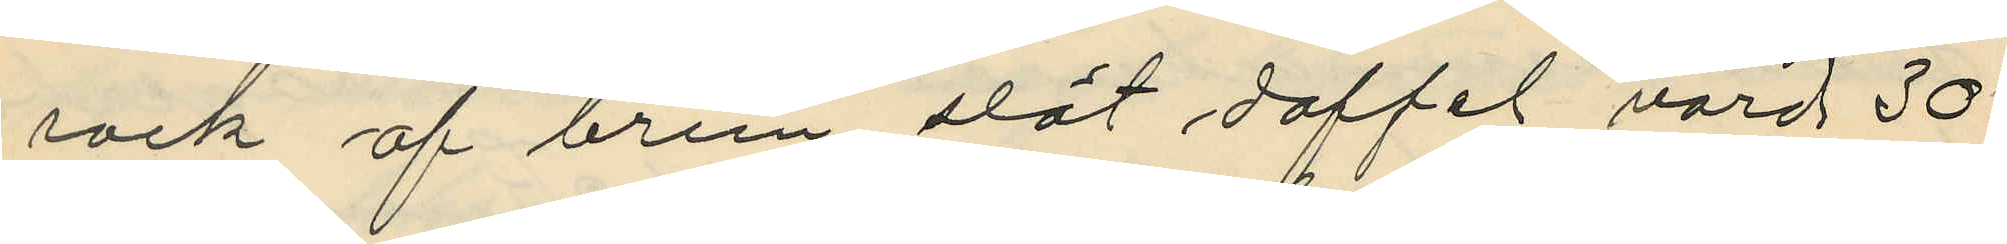rock af brun slät doffel, värd 30
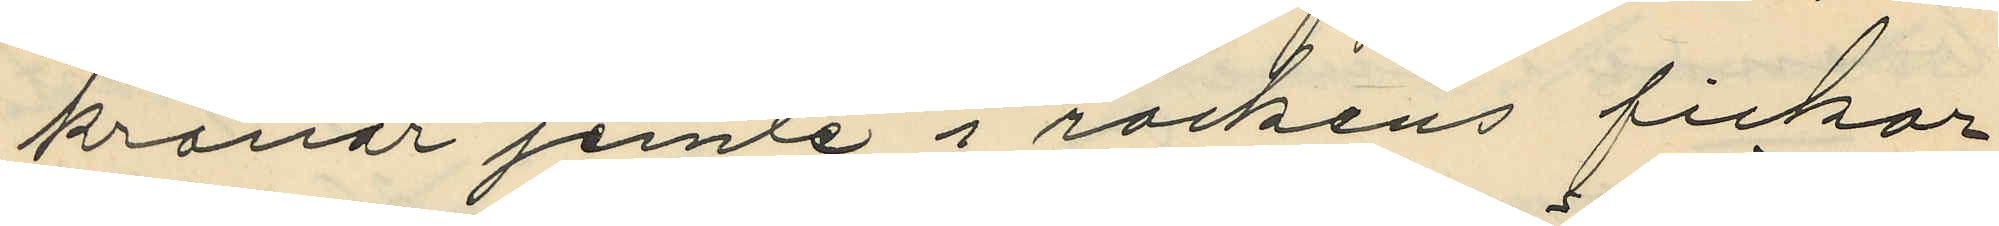kronor jemte i rockens fickar
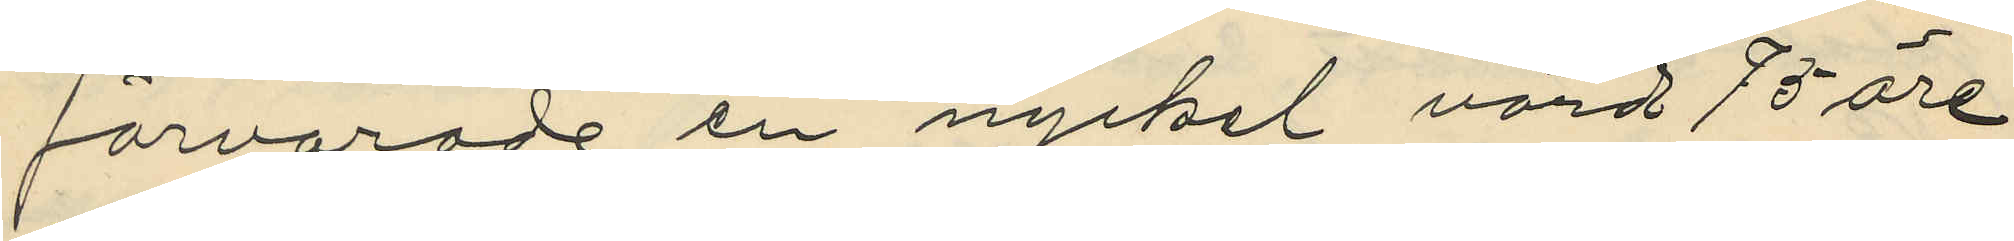förvarade en nyckel värd 75 öre
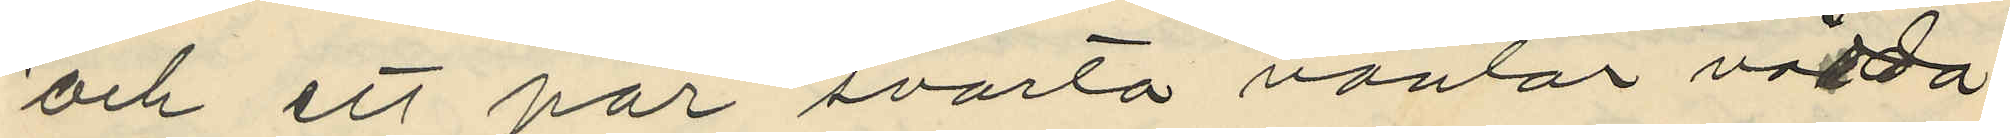och ett par svarta vantar värda
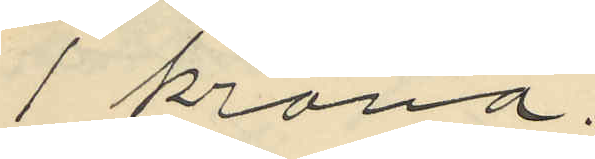1 krona.
